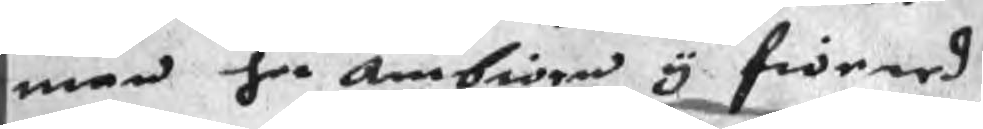man her ambiörn y fioered
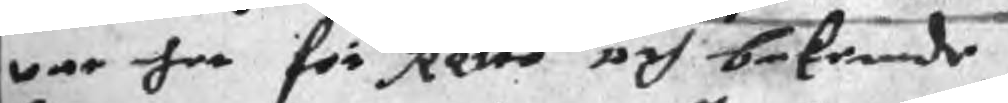war her för Rette och bekende
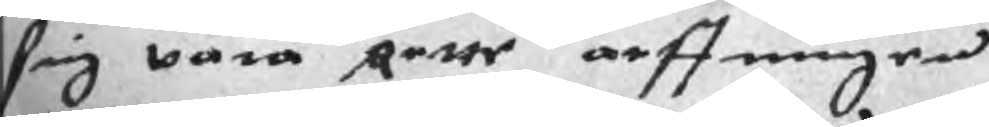sig wara Rette arffingen
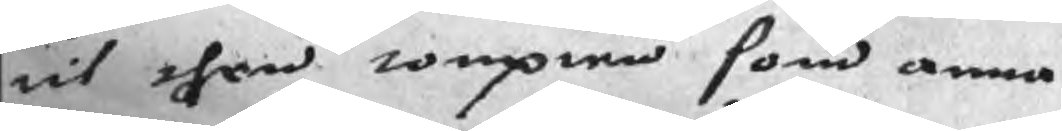til then tompten som anna
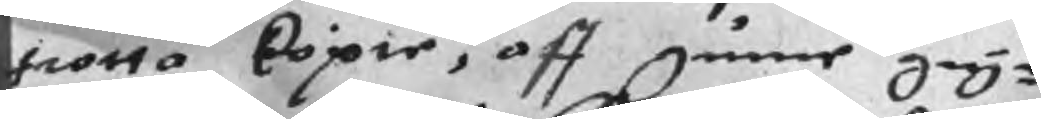hiotta köpie, aff gunne gry¬
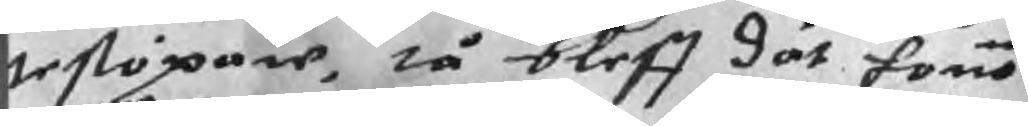testöpare, tå bleff dät honom
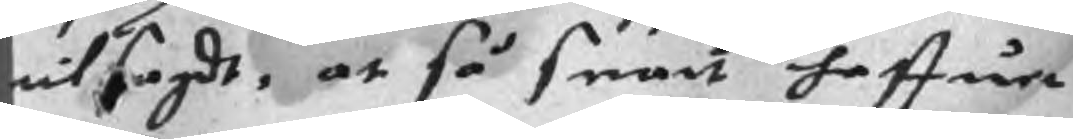titsagdt, at så snart haffuer
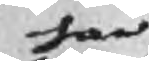han
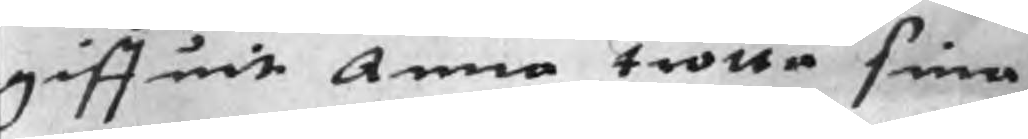giffuit Anna trotta sina
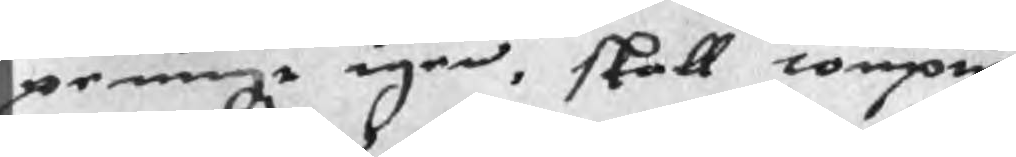peningr igen, skall tompten
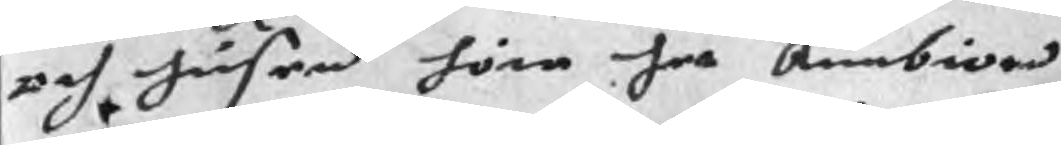och husen höra her Ambiörn
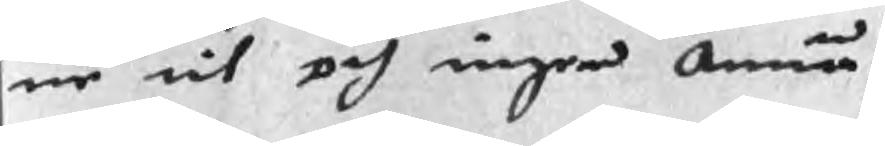ne til och ingen Annan.
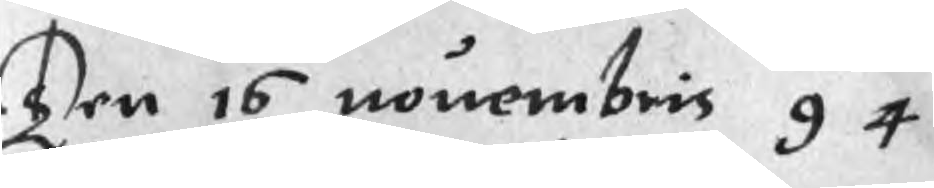Ten 16 novembris 94
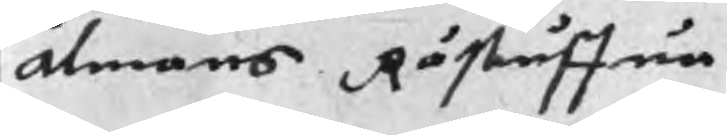Almans Råstuffua
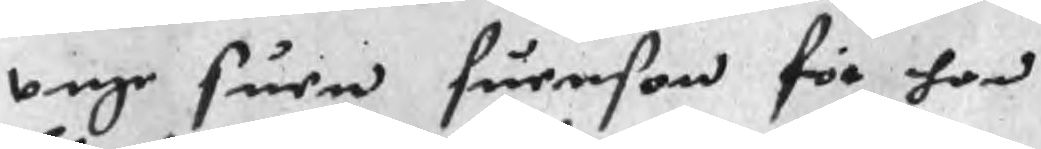unge suen Suenson för han
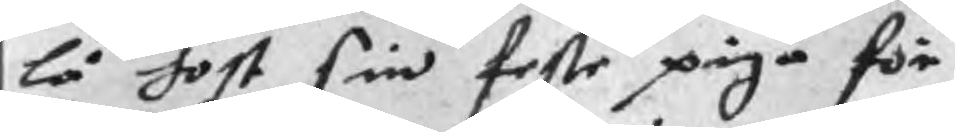lå host sin feste piga för
